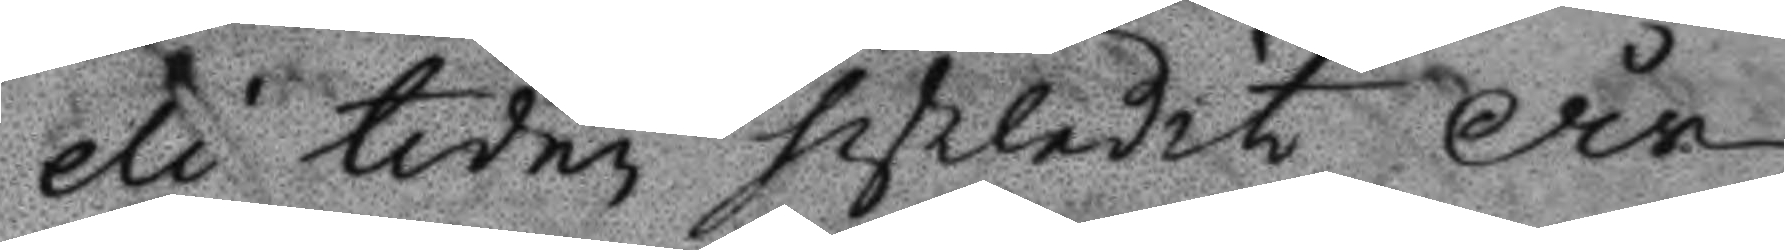eli tiden sistledit År
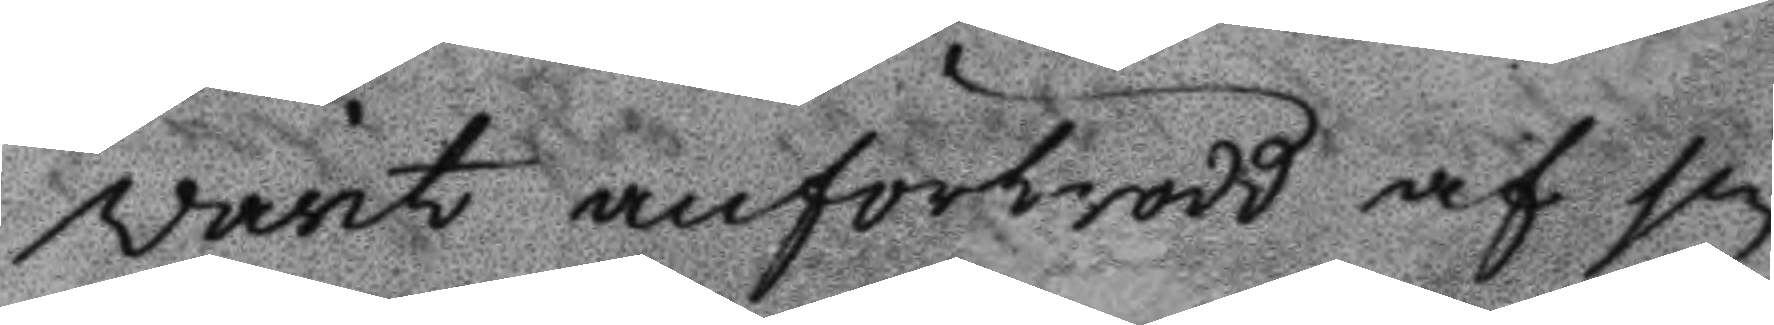warit anförtrodd af sin
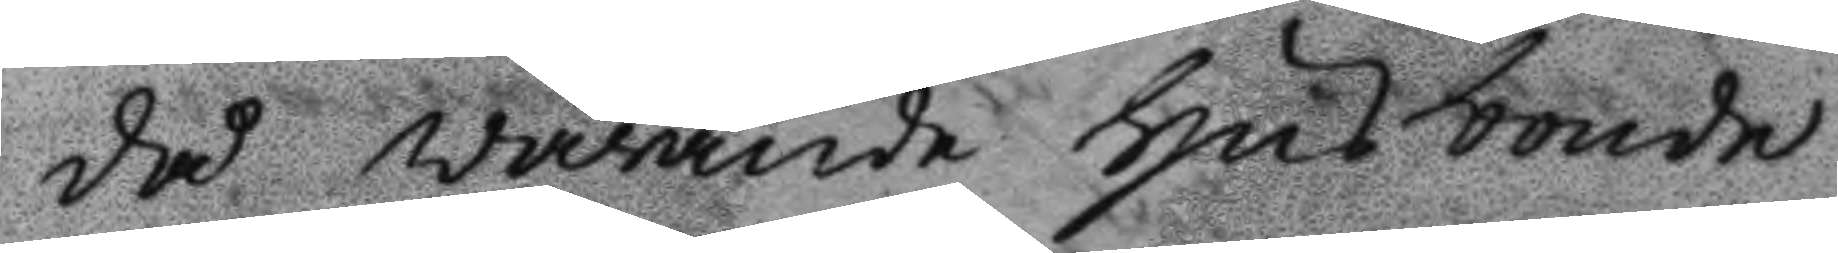då warande Husbonde
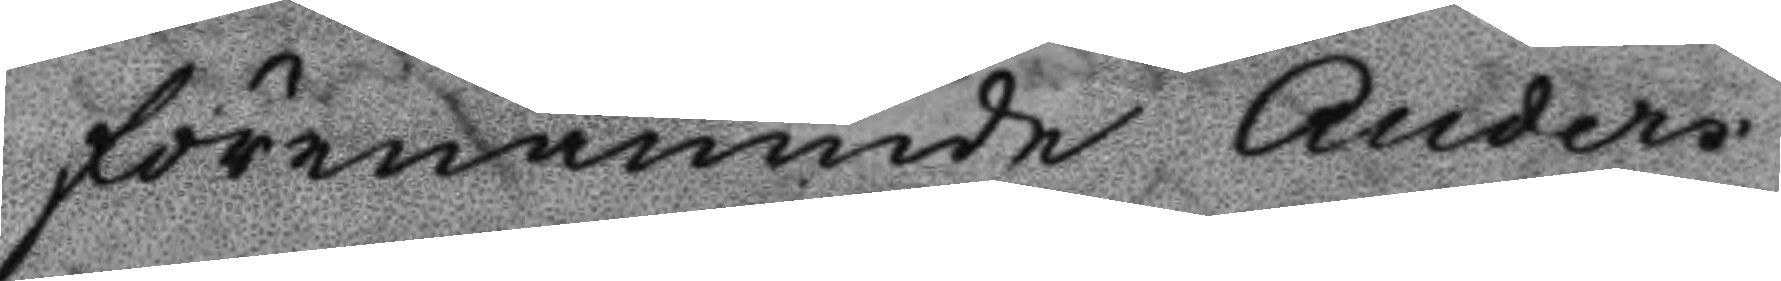förenämnde Anders
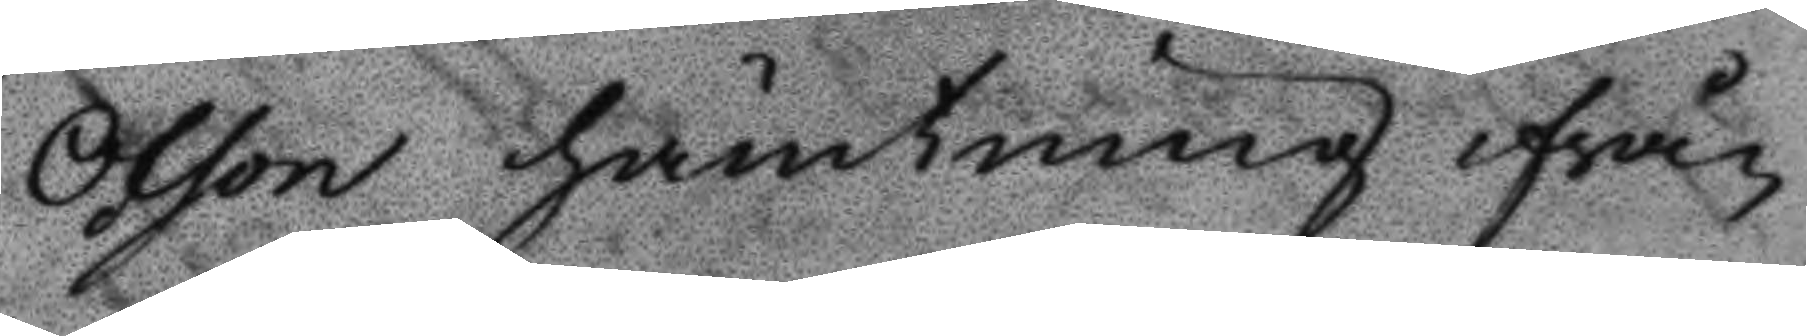Olson hämtning ifrån
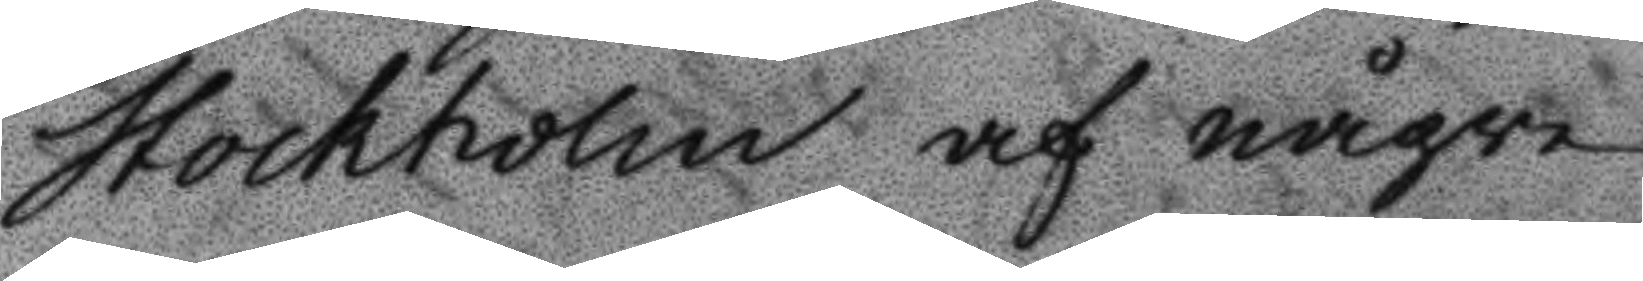Stockholm af någre
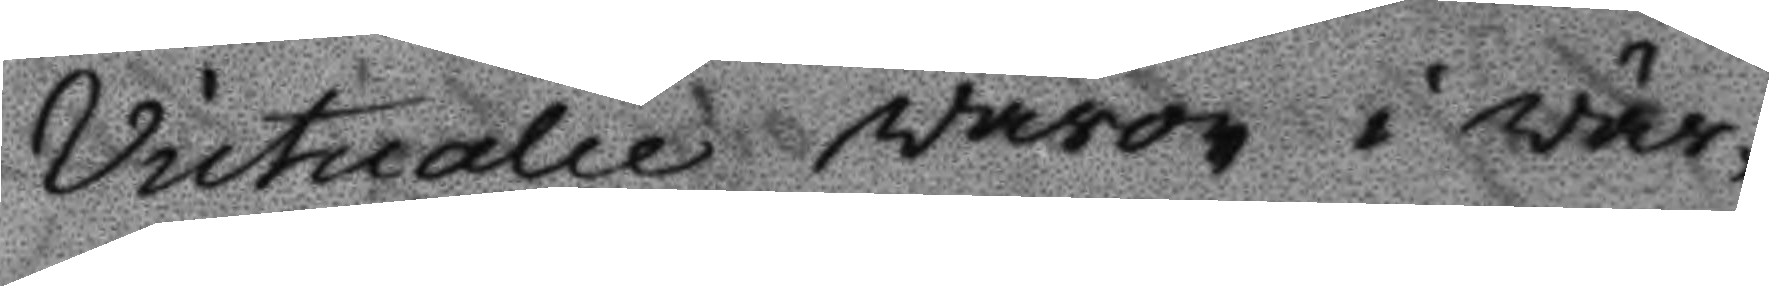Victualie waror i wär¬
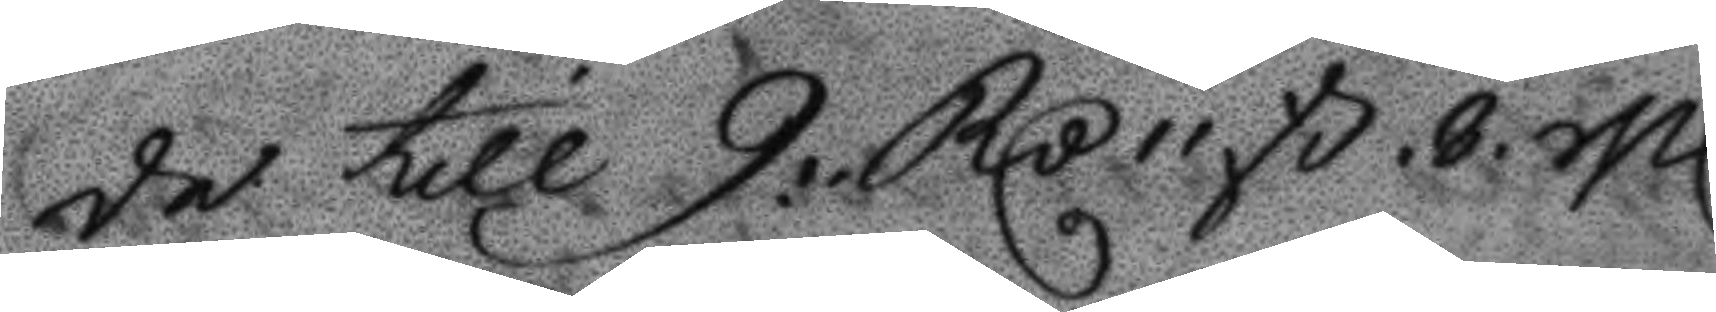de till 9. RCd 11 ß.8. Sl
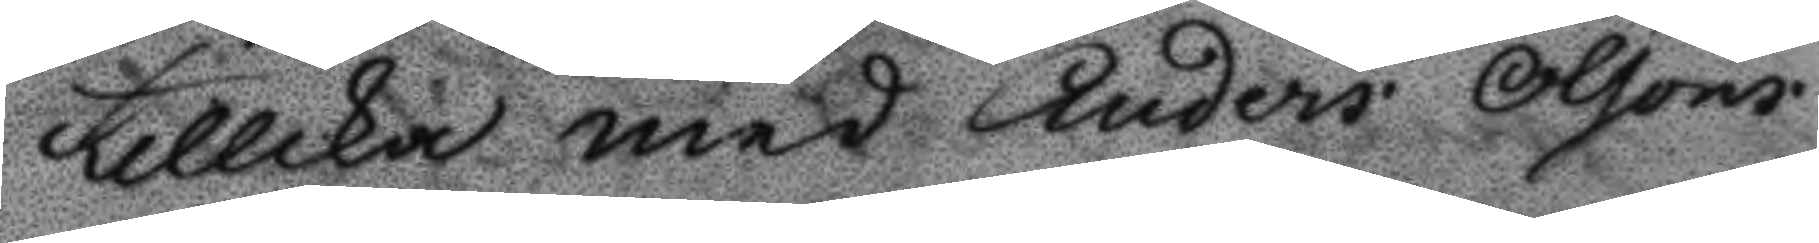tillika med Anders Olsons
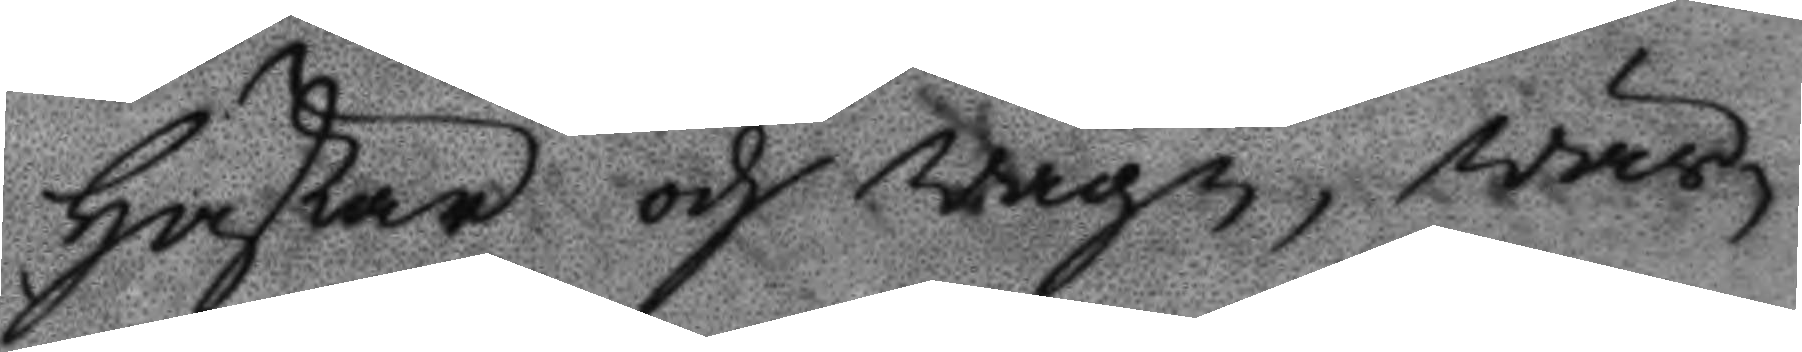Hästar och wagn, wär¬
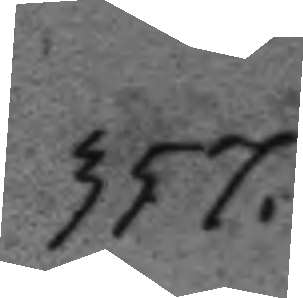357.
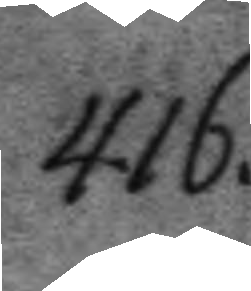416.
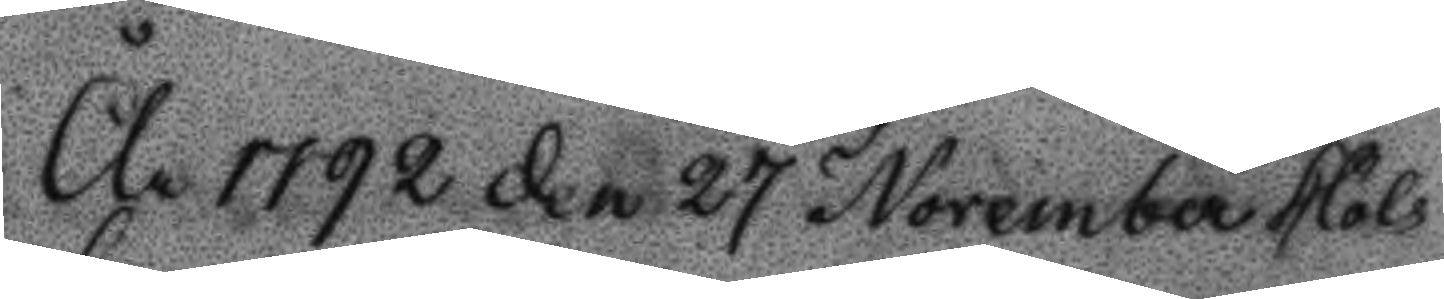År 1792 den 27 November hölts
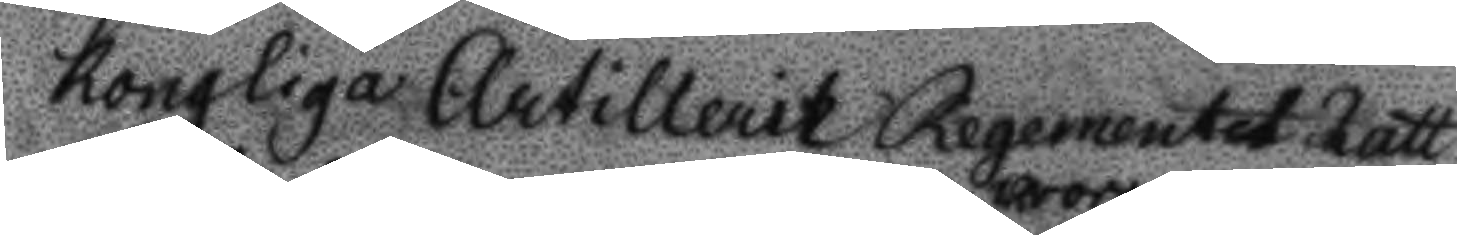Kongliga Artilleritz Regementet Rätt
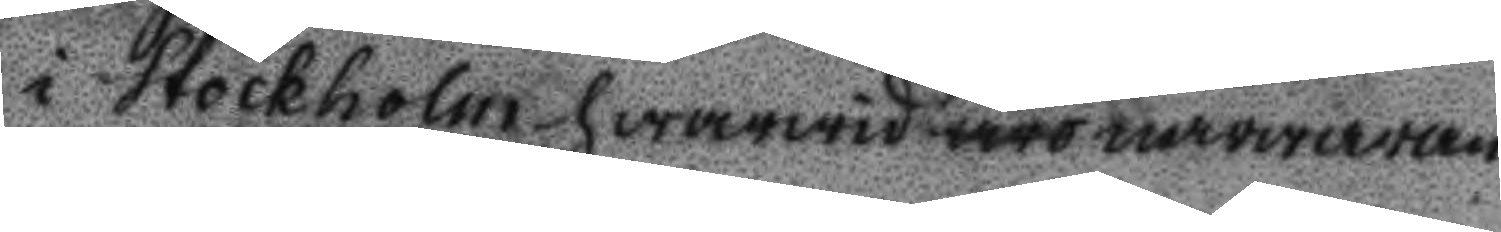i Stockholm hwarwid woro närwaran¬
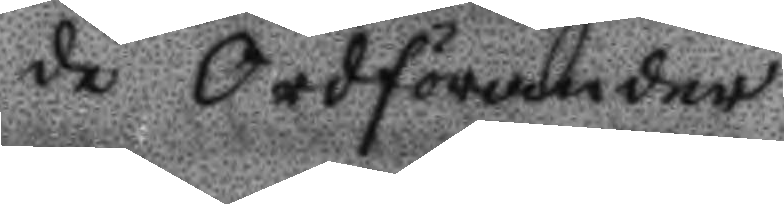de Ordförander
